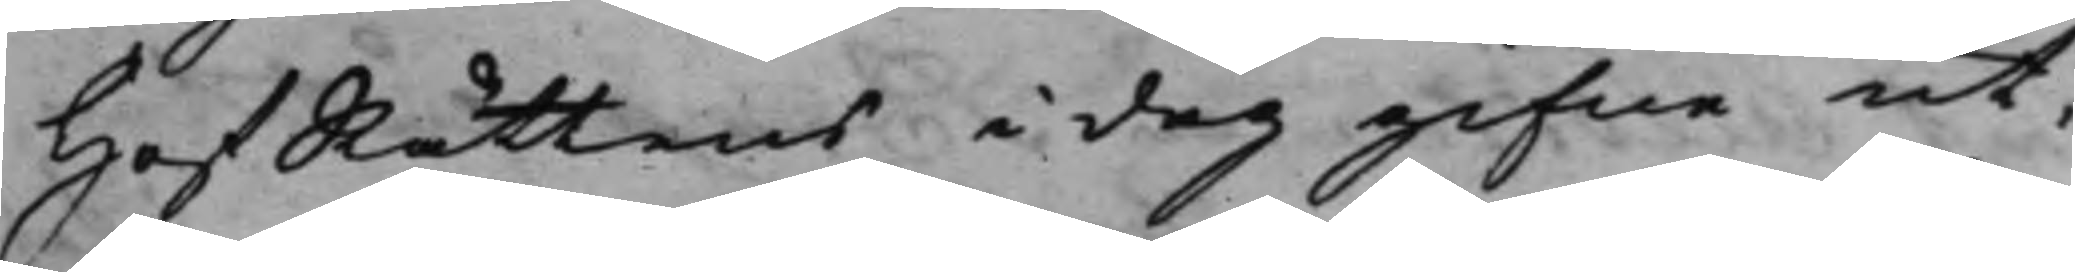HofRättens i dag gifne ut¬
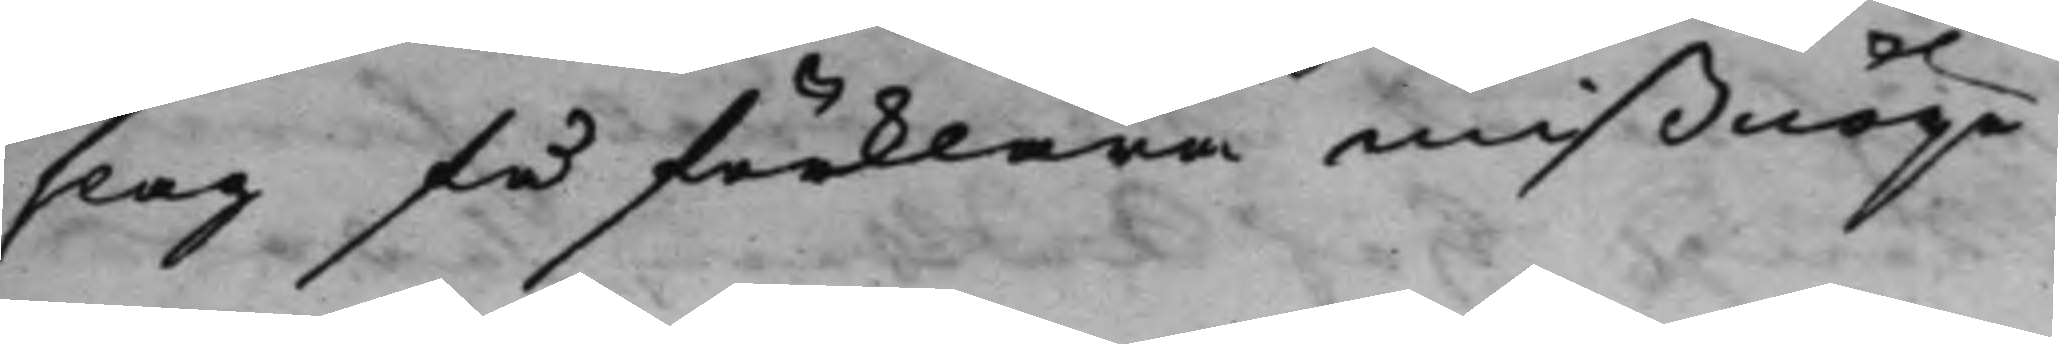slag få förklara mißnöije
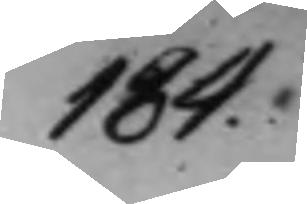184.
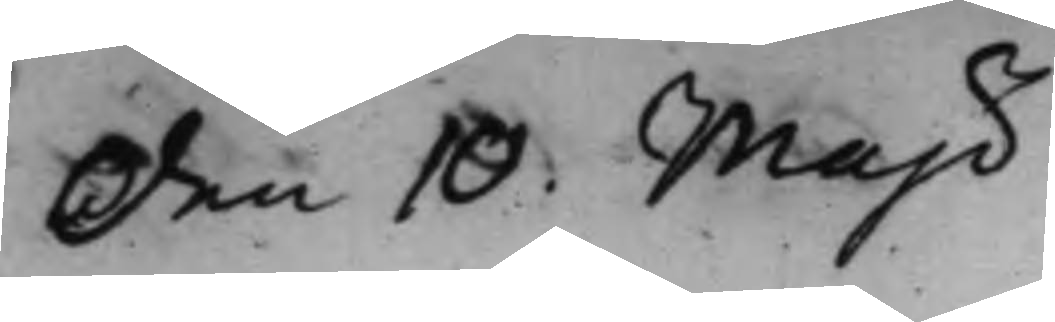den 10 Maji
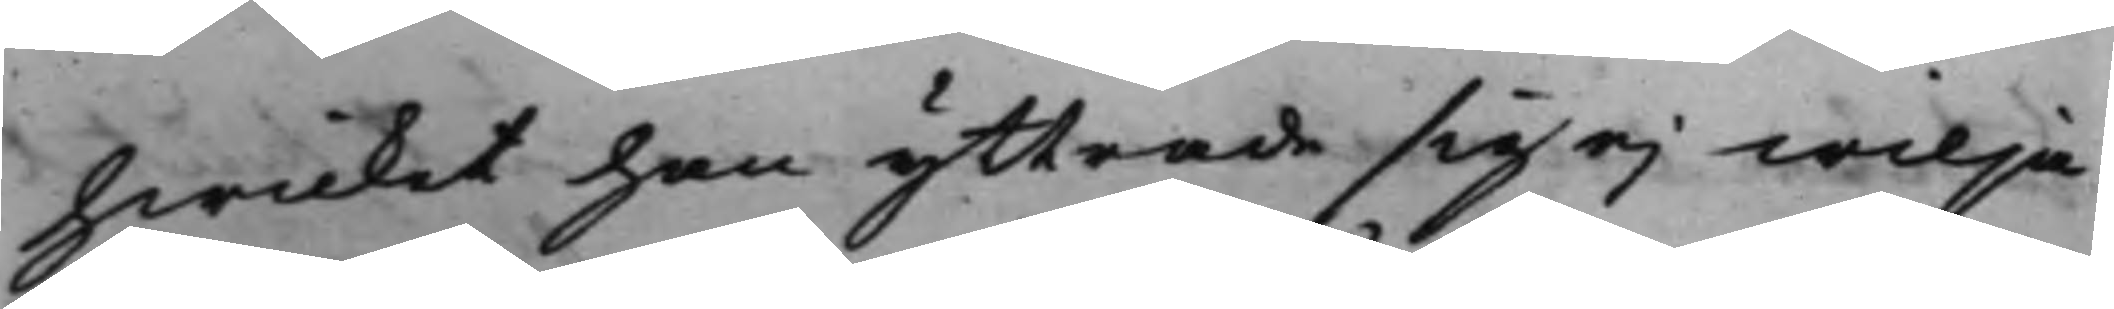hwilket han yttrade sig ej wilja
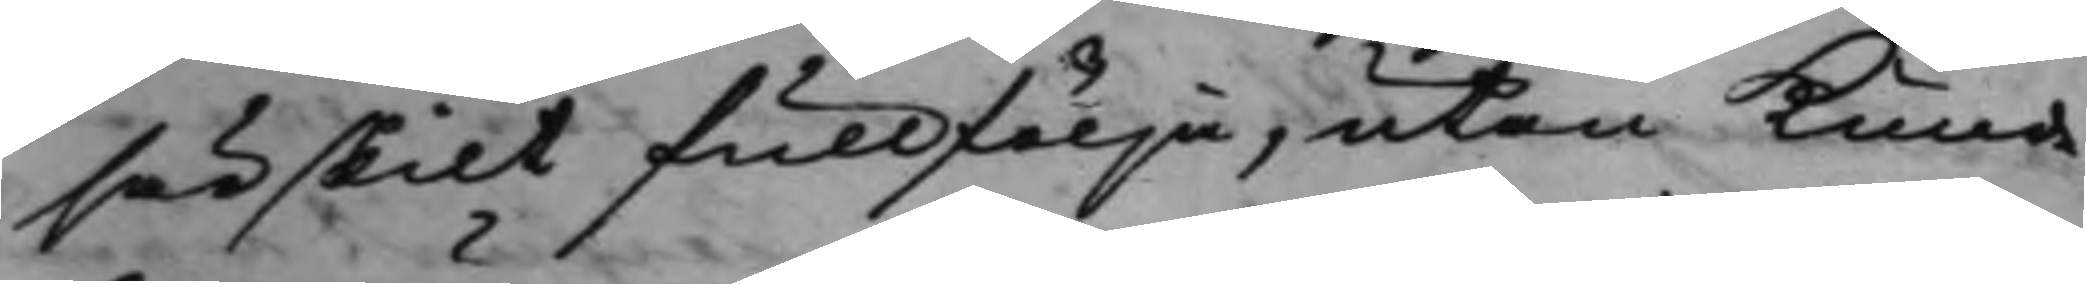särskilt fullfölja, utan Kunde
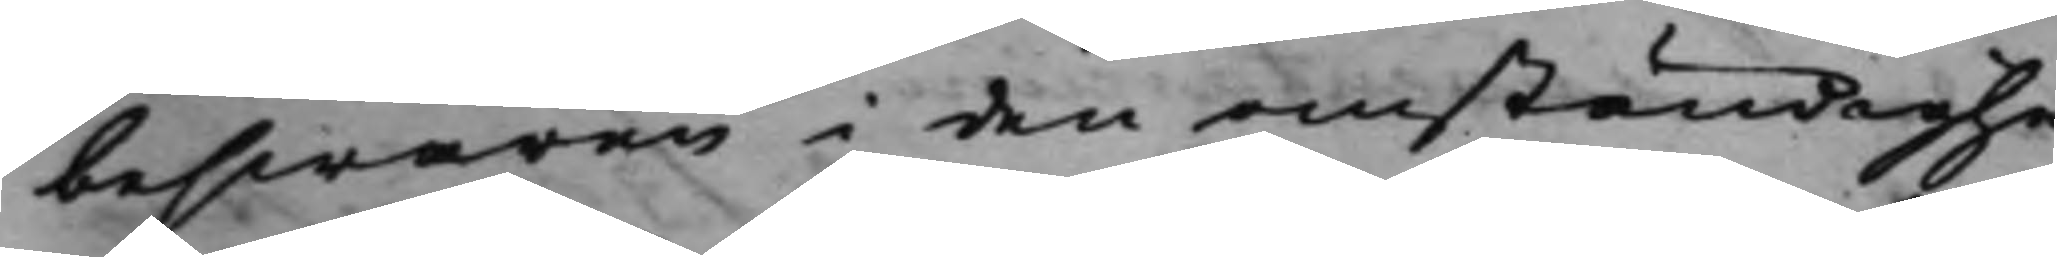beswären i den omständighe¬
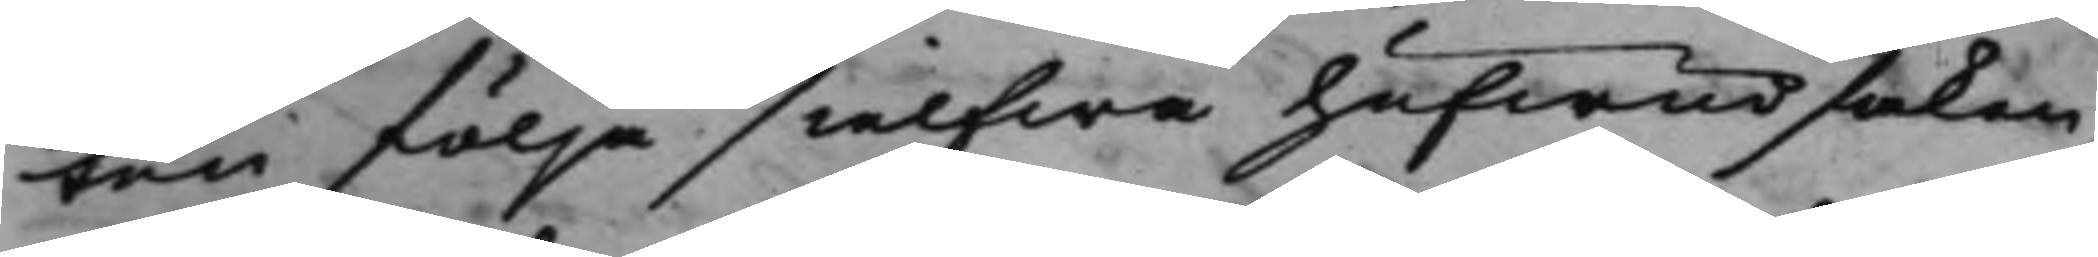ten följa sielfwa hufwudsaken,
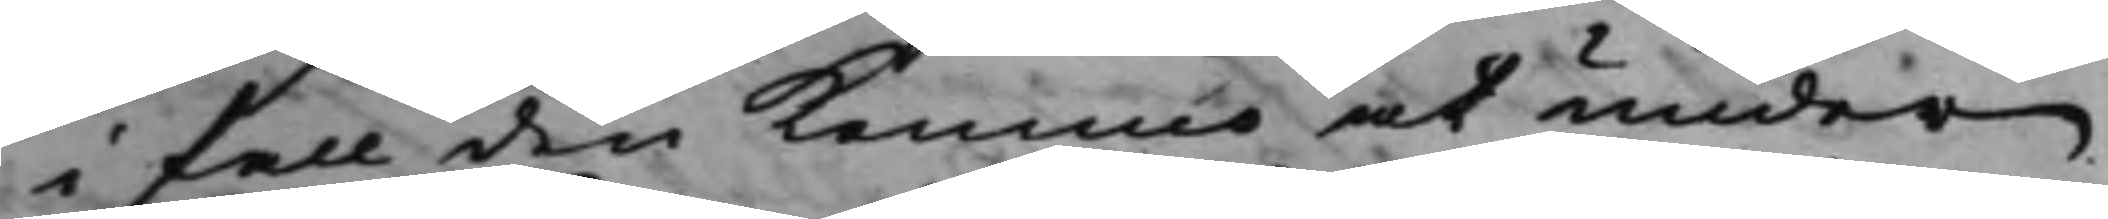i fall den Kommo at under
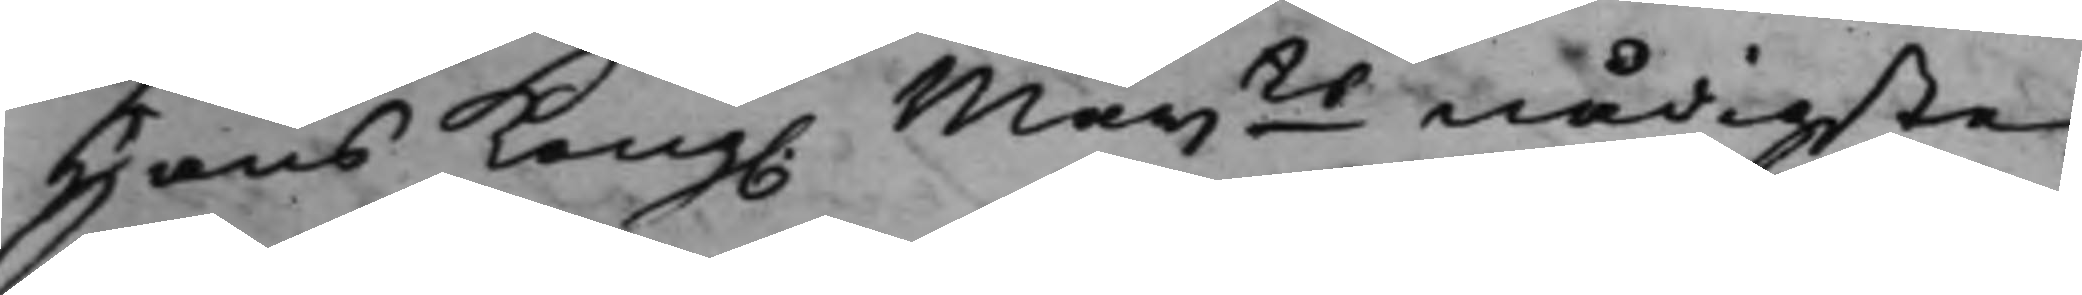Hans Kong. Maijts nådigste 
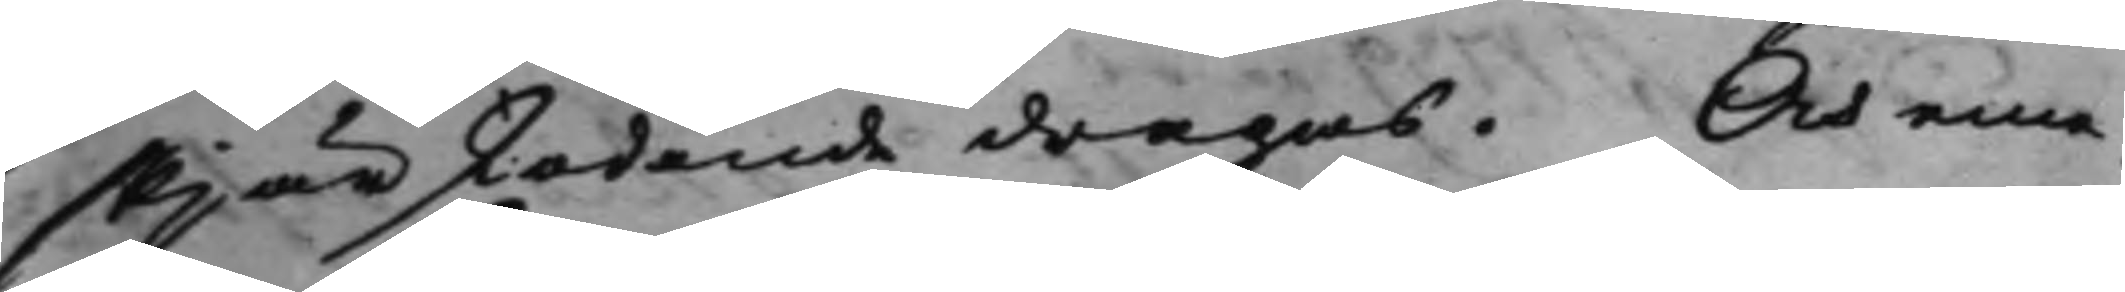skjärskodande dragas. Och eme¬
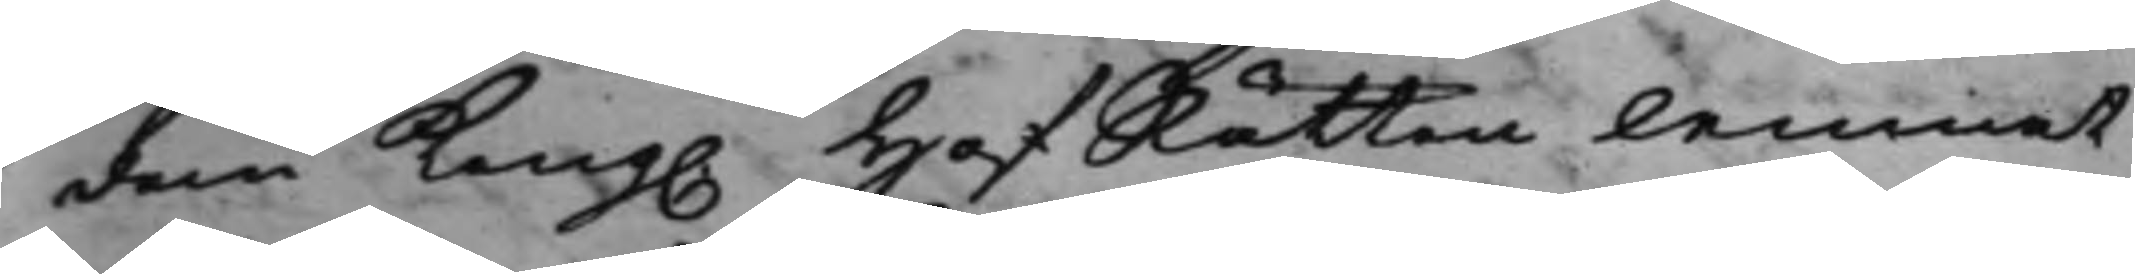dan Kong. HofRätten lemnat, 
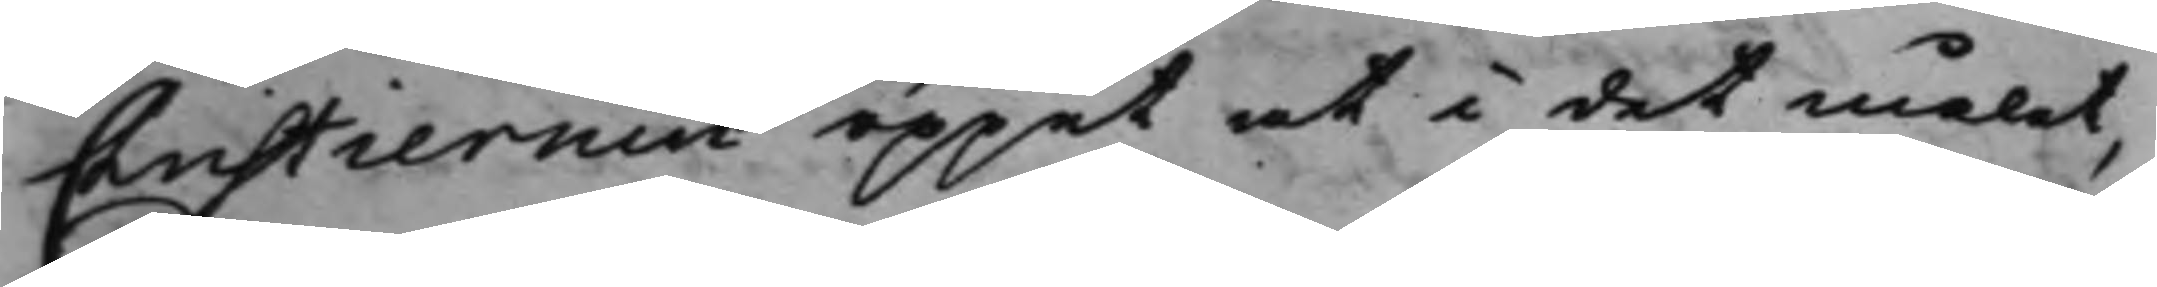Christiernin öppet at i det målet,
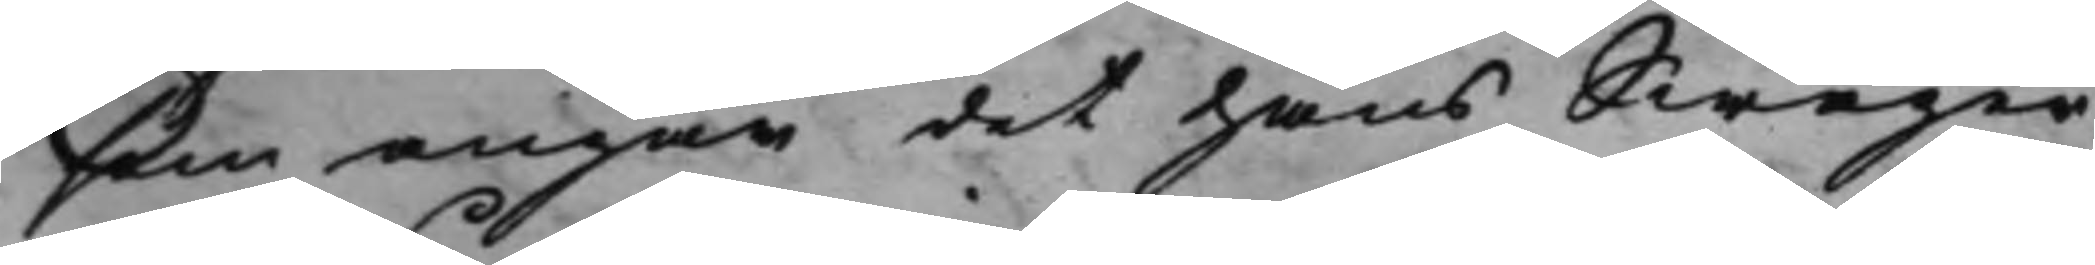som angår det hans Swäger¬
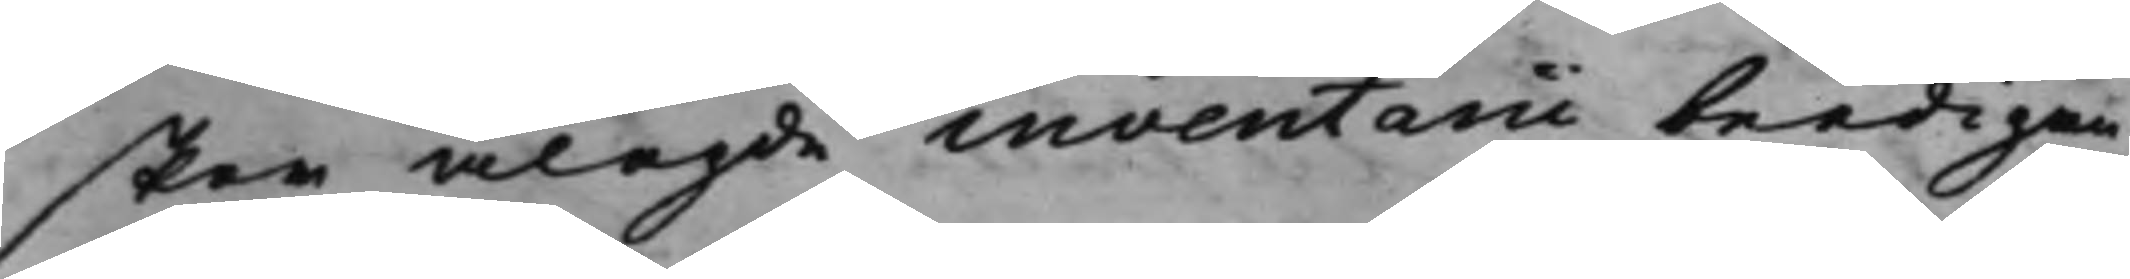skor ålagde inventarii beedigan¬
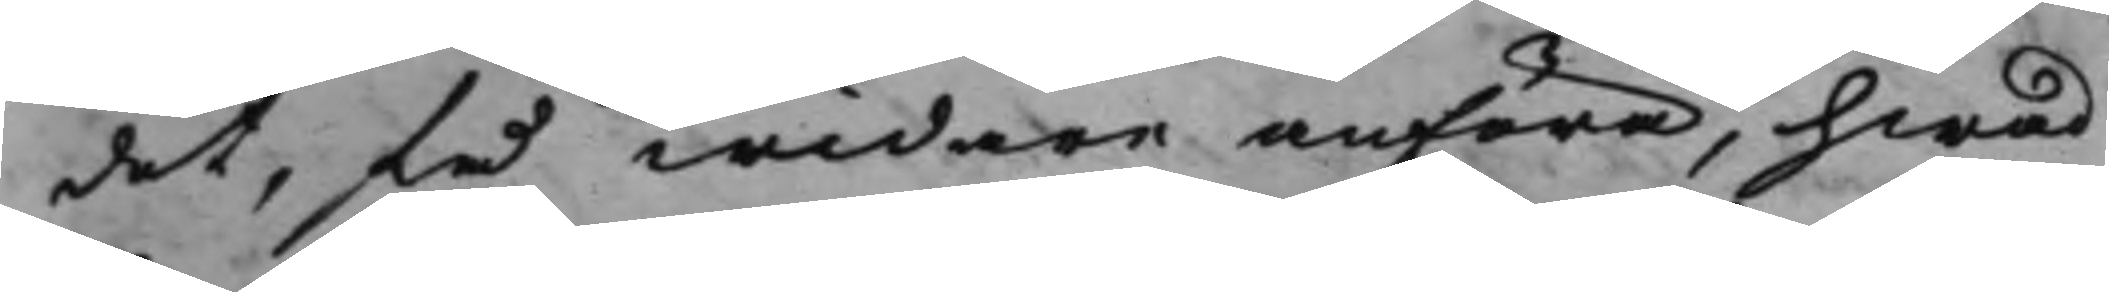det, få widare anföra, hwad
